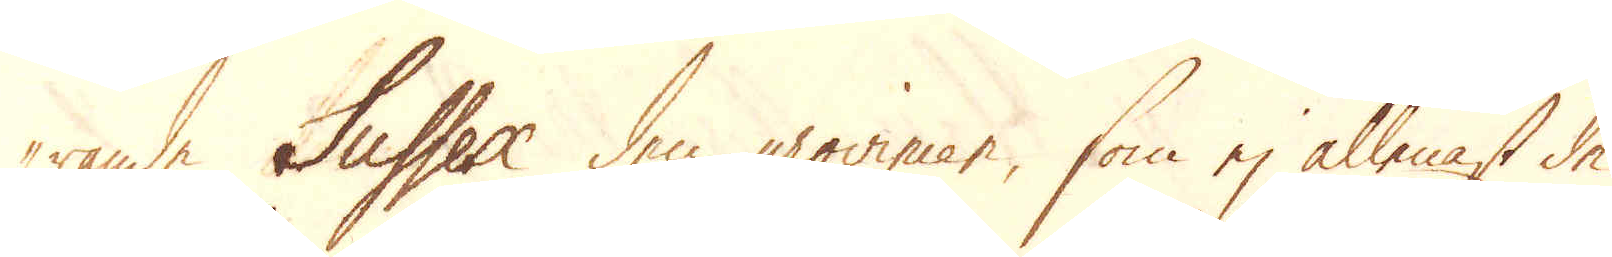-rande Sussex den provincen, som ej allenast de
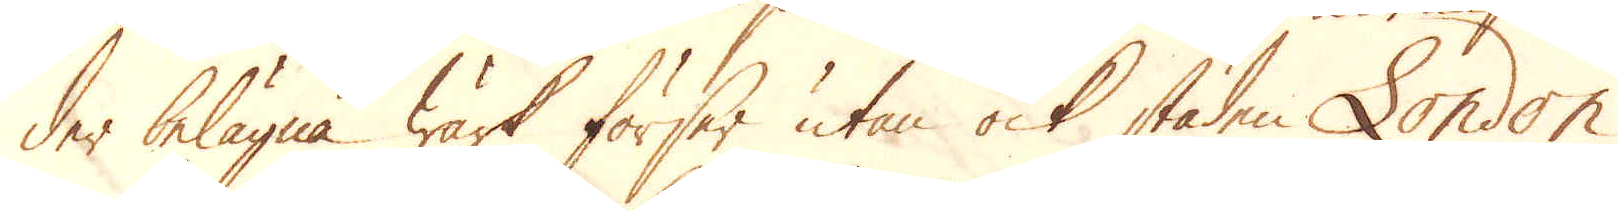der belägna Wärk förser utan ock staden London
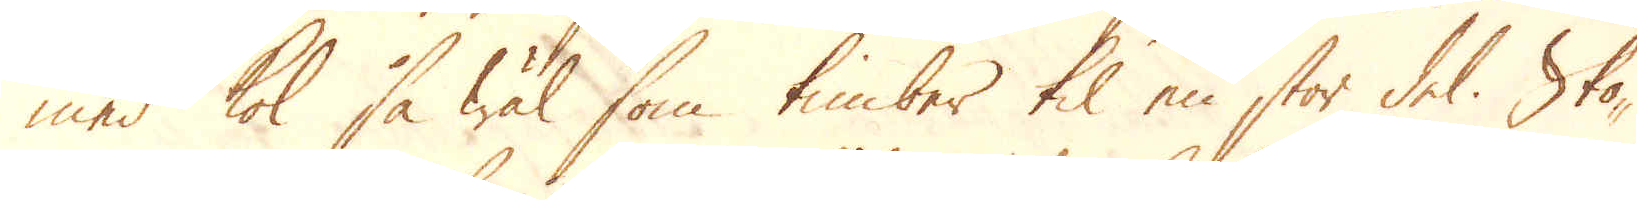med kol så wäl som timber til en stor del. Sko-
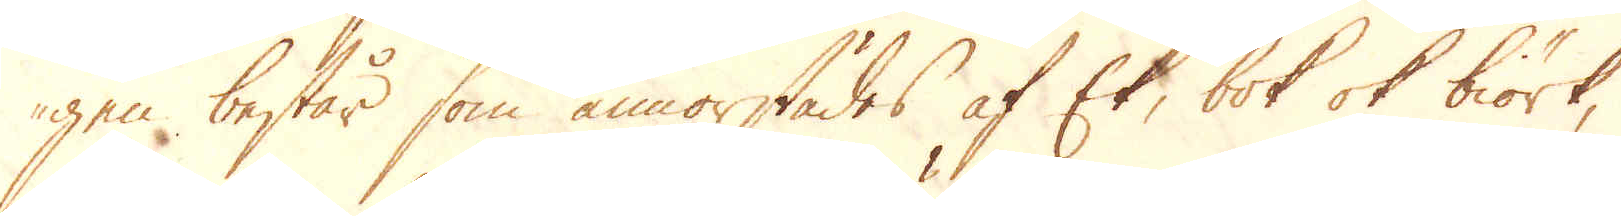gen består som annorstädes af Ek, bok ok biörk,
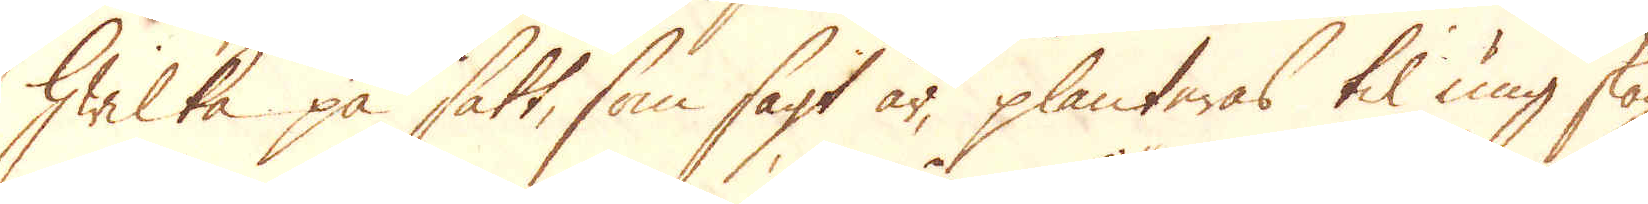hwilka på sätt, som sagt är, planteras til ung skog,
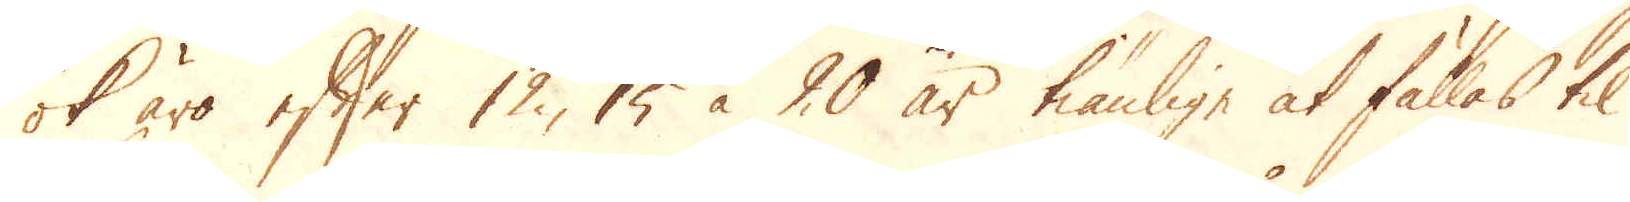ok äro efter 12, 15 à 20 år tiänlige at fällas til
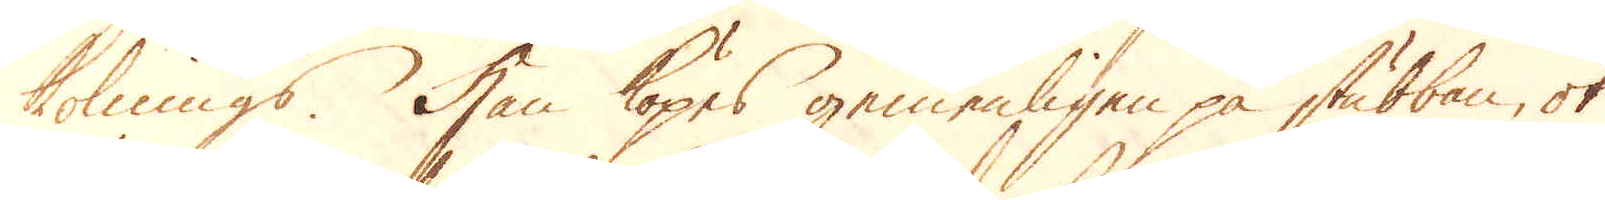kolnings. Han köpes gemenligen på stubban, ok
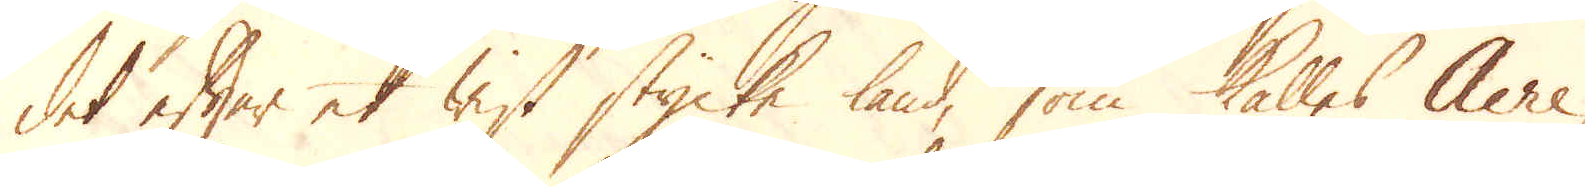det efter et wist stycke land, som kallas Acre,
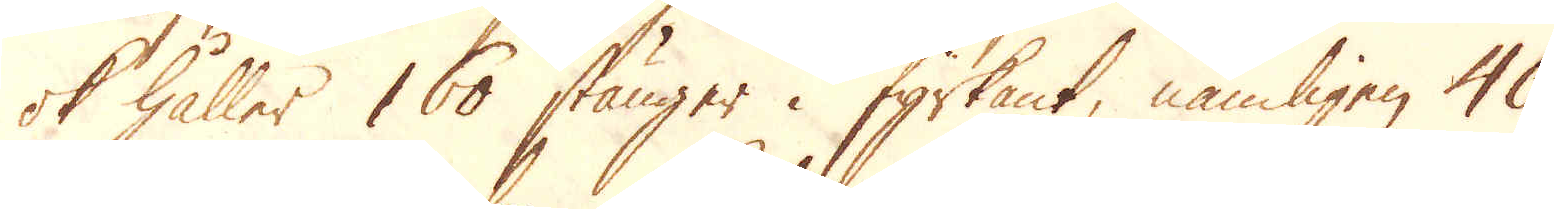ok håller 160 stänger i fyrkant, nämligen 40
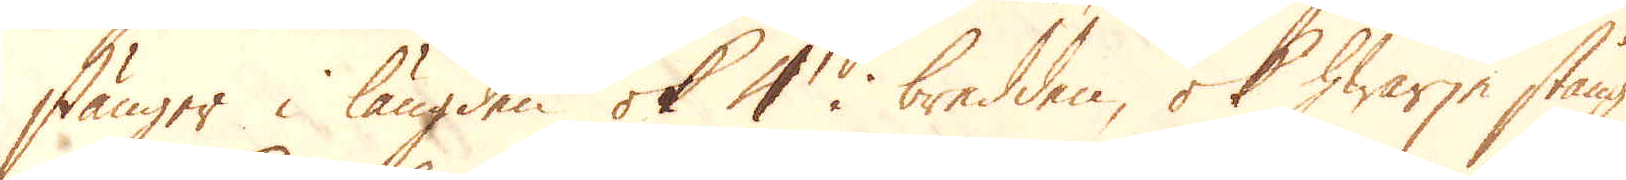stänger i längden ok 4 i bredden, ok hwarje stång
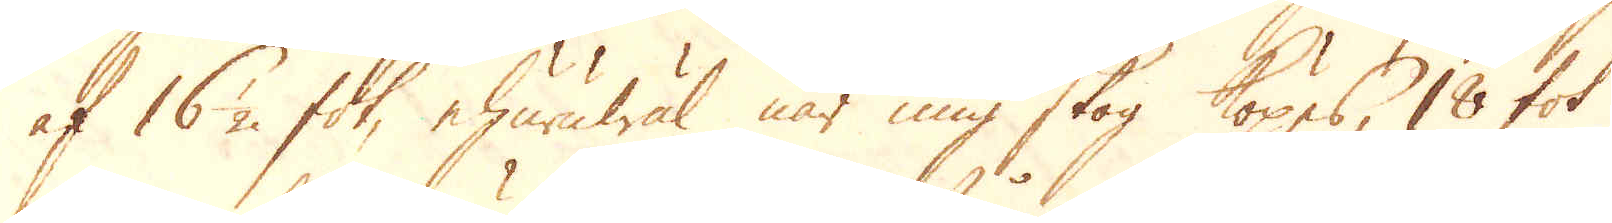af 16 1/2 fot, ehuruwäl när ung skog köpes, 18 fot
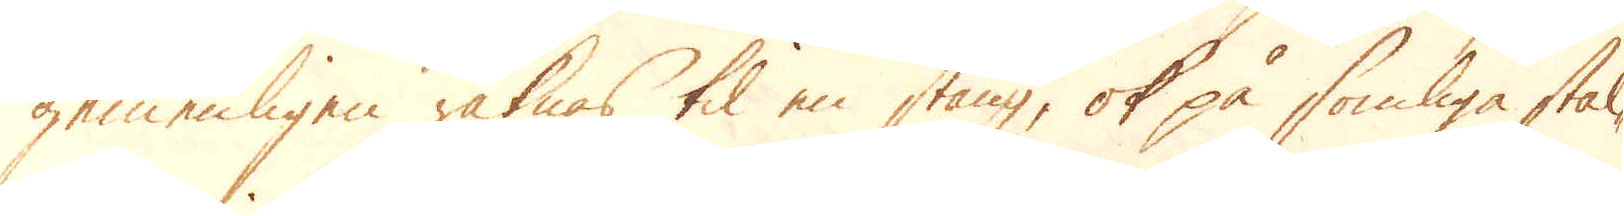gemenligen räknas til en stång, ok på somliga stäl-
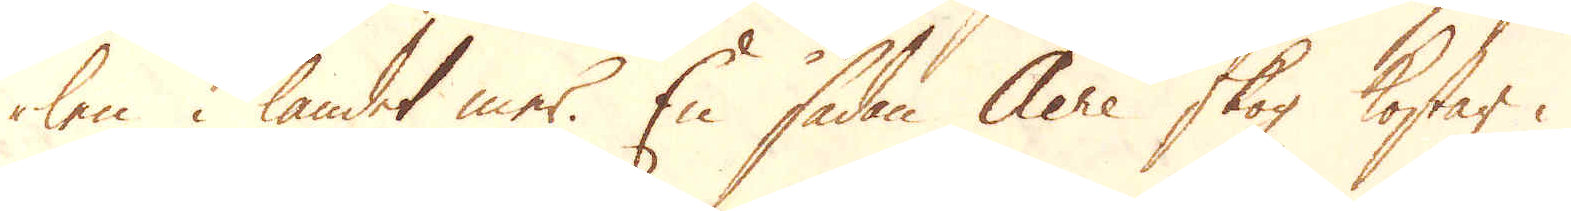len i landet mer. En sådan Acre skog kostar i
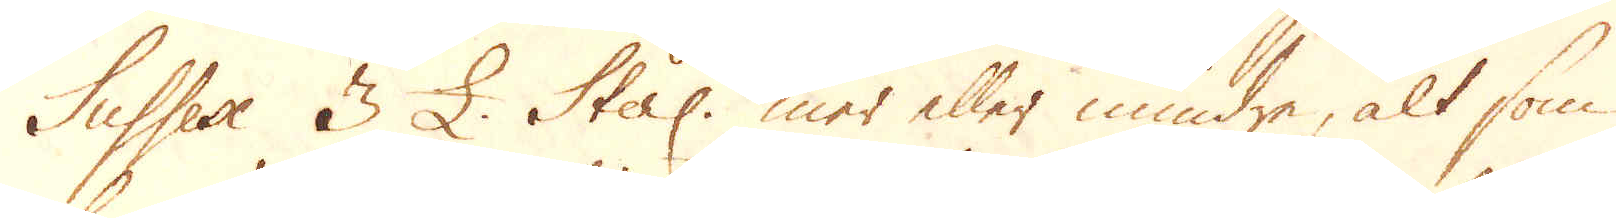Sussex 3 £. Sterl: mer eller mindre, alt som
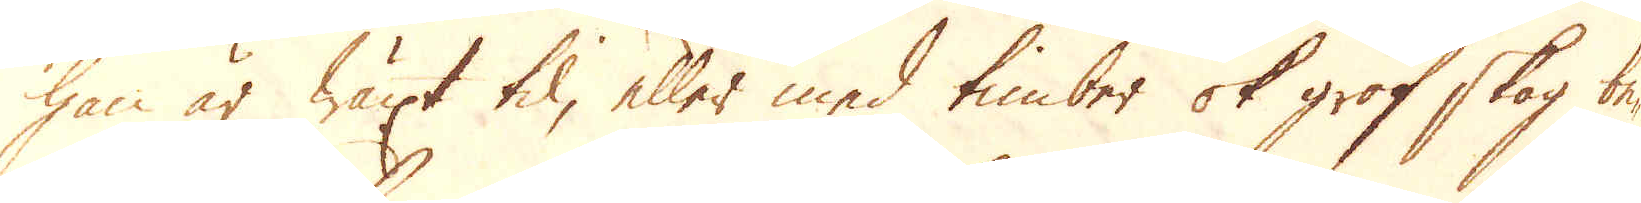han är wäxt til, eller med timber ok grof skog be-
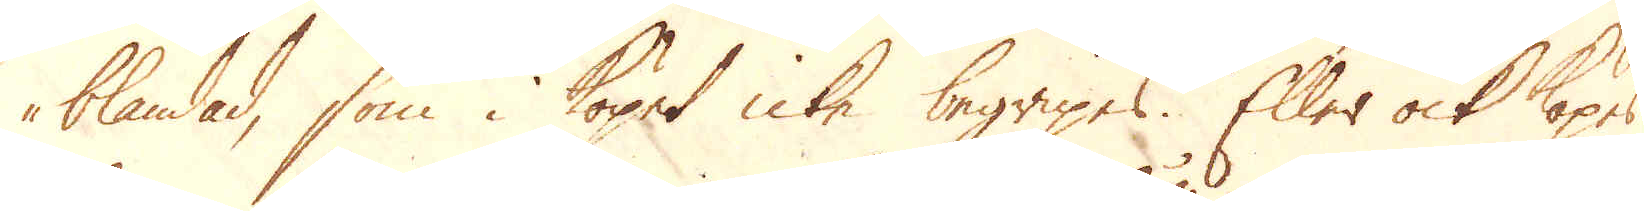blandad, som i köpet icke begripes. Eller ock köpes
